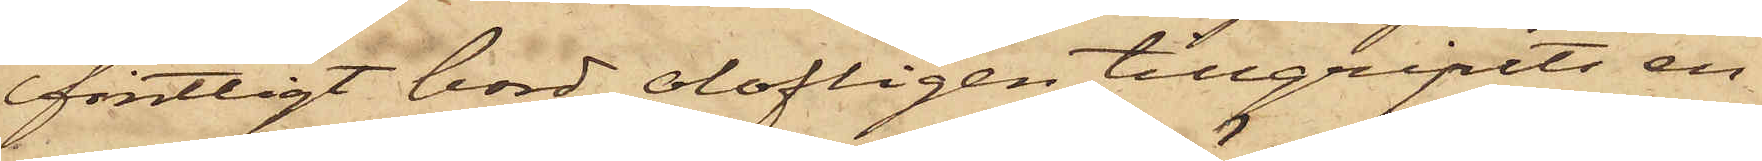fintligt bord olofligen tillgripits en
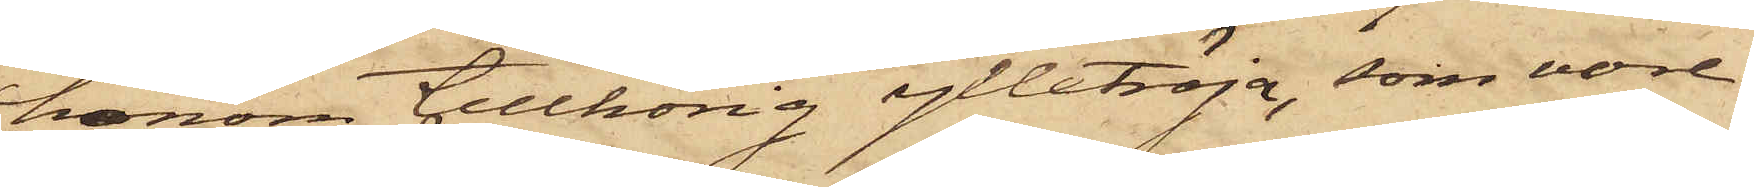honom tillhörig ylletröja, som vore
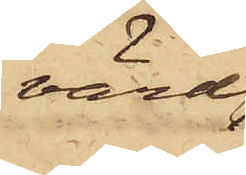värd
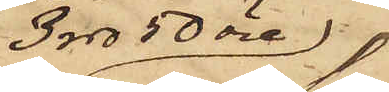3 rdr 50 öre,
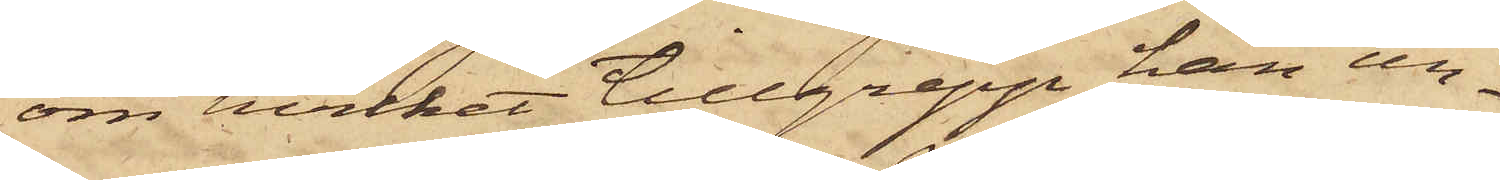om hvilket tillgrepp han un¬
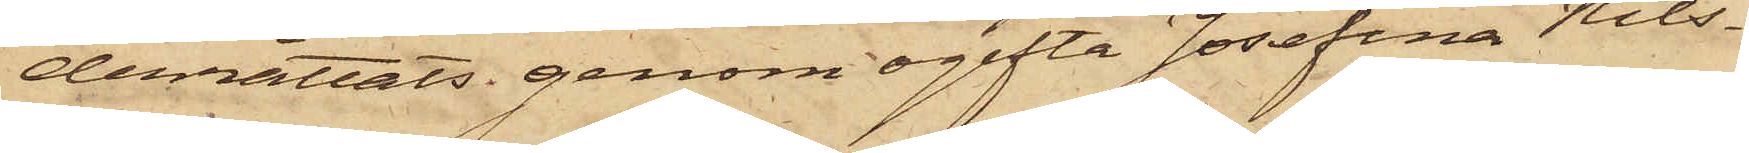derrättats genom ogifta Josefina Nils¬
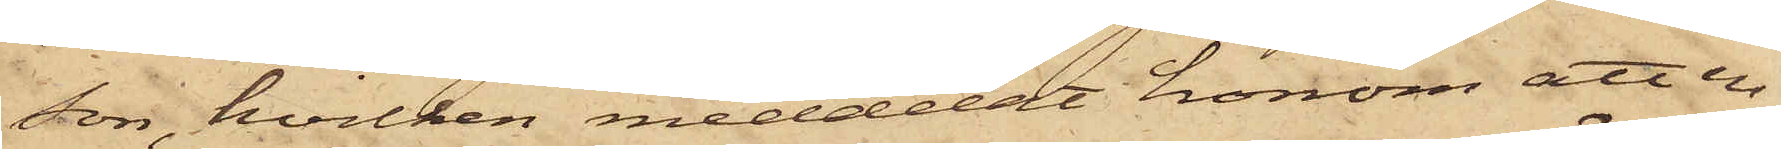son, hvilken meddelat honom att en
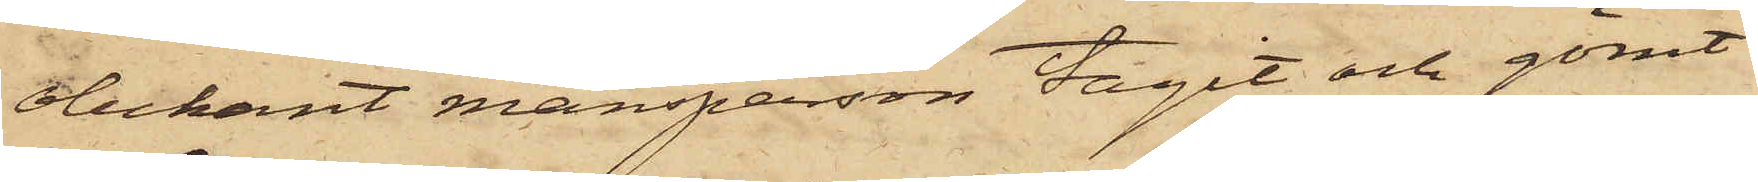obekant mansperson tagit och gömt
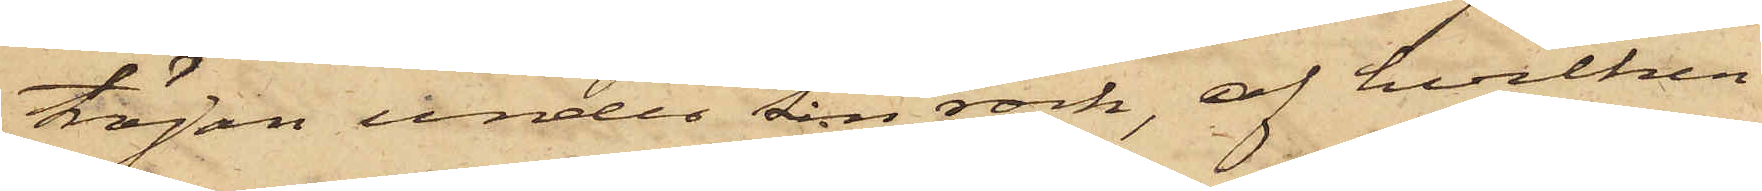tröjan under sin rock, af hvilken
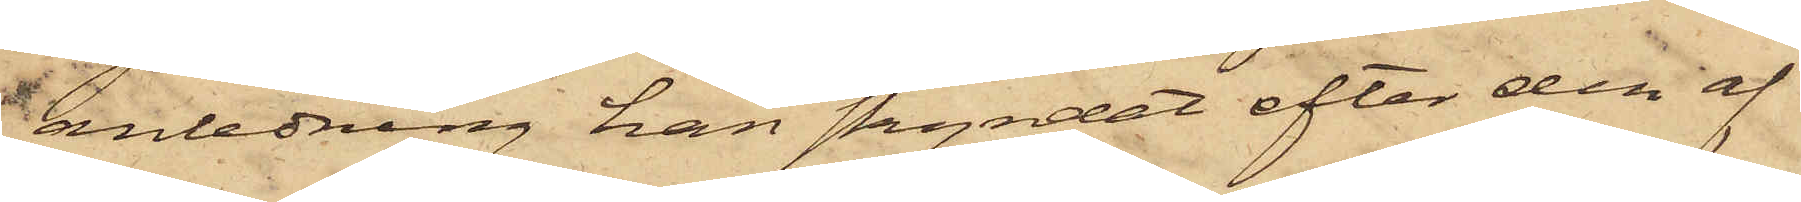anledning han skyndat efter den af
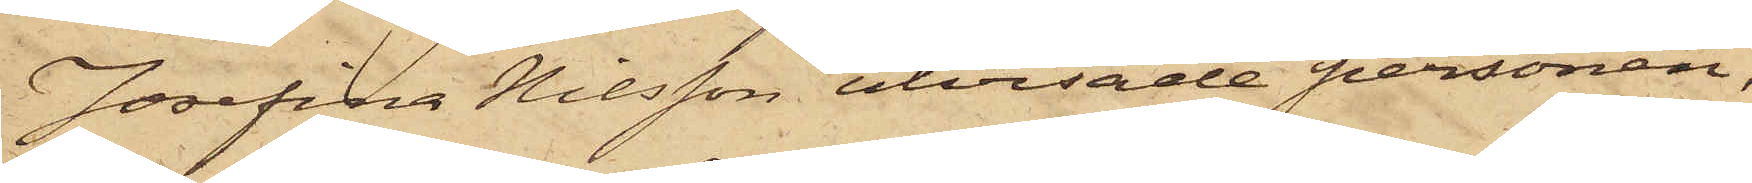Josefina Nilsson utvisade personen,
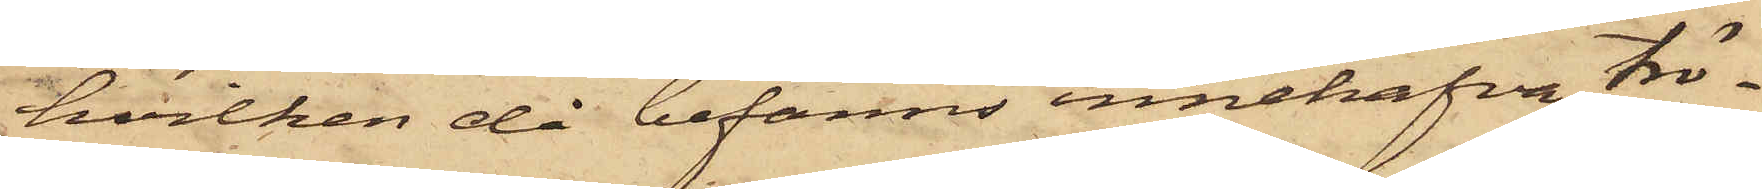hvilken då befanns innehafva trö¬
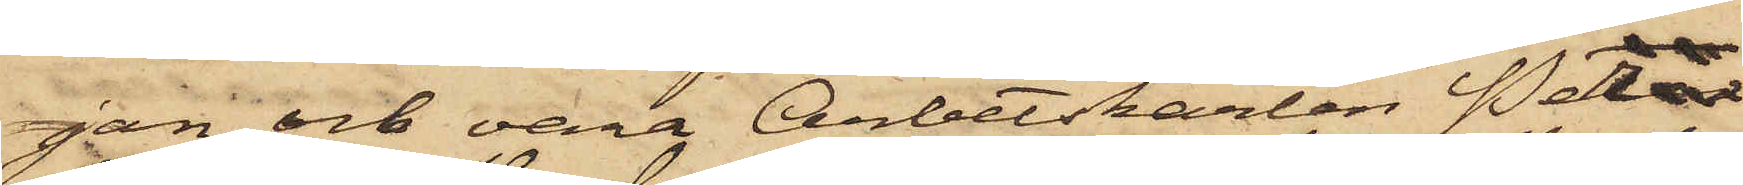jan och vara Arbetskarlen Per
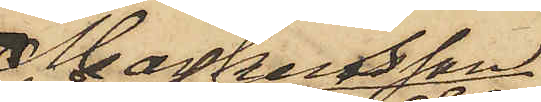Markusson
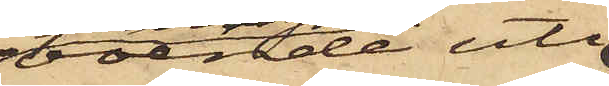boende uti
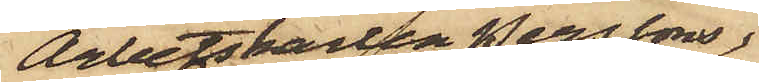Arbetskarlen Perssons
